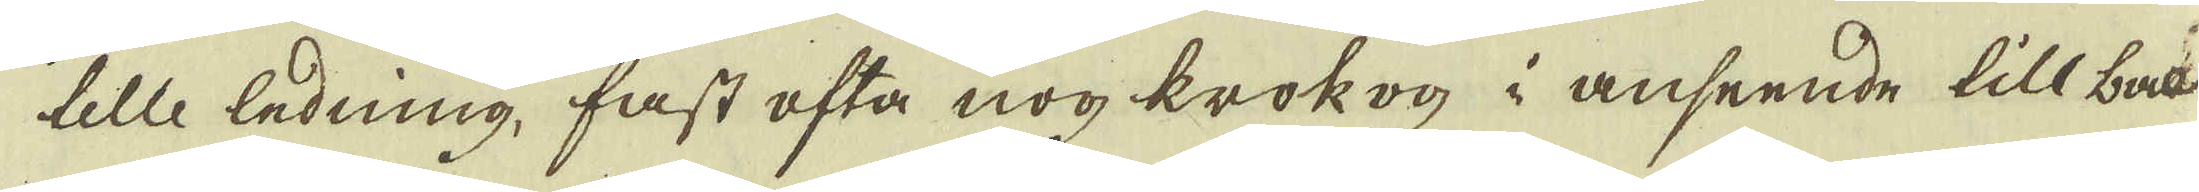telle ledning, fast ofta nog krokog i anseende till bac-
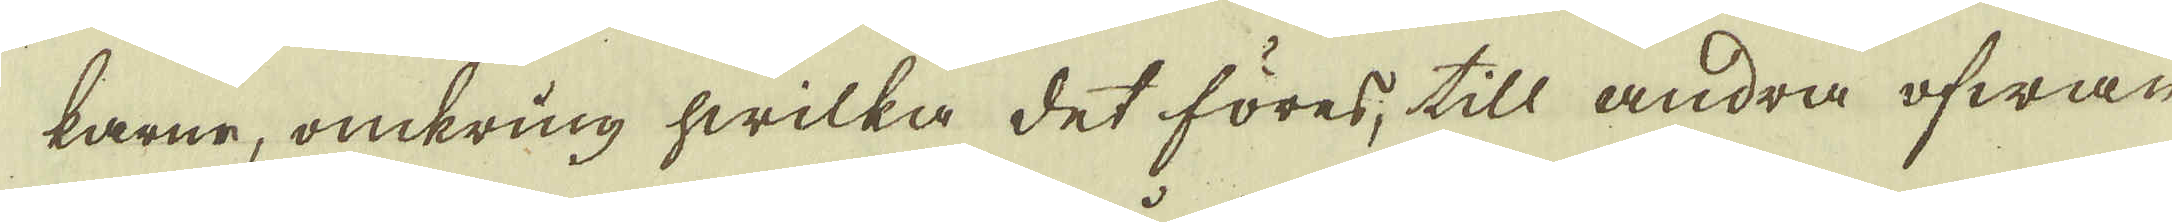karne, omkring hwilka det föres, till andra ofwan
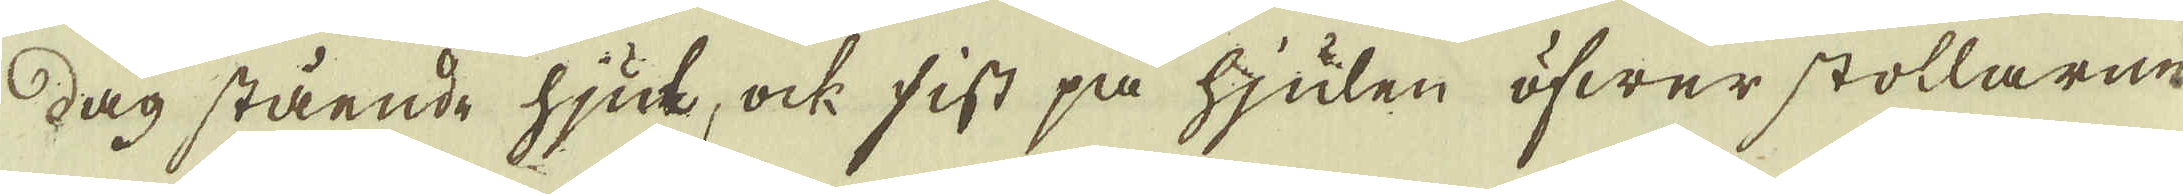dag stående hjul, ock sist på hjulen öfwer stollarne
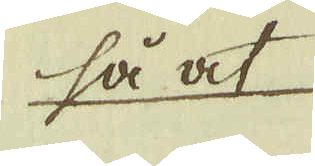så at
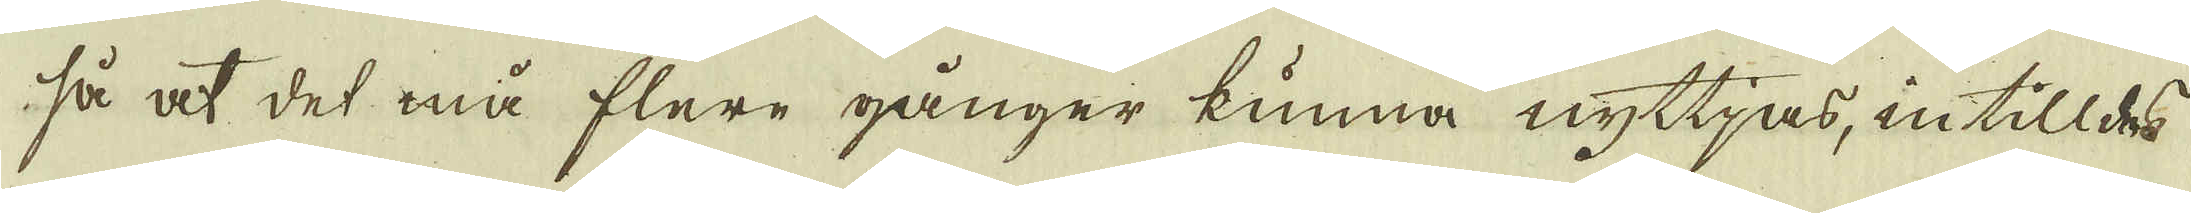så at det må flere gånger kunna nyttjas, intill des
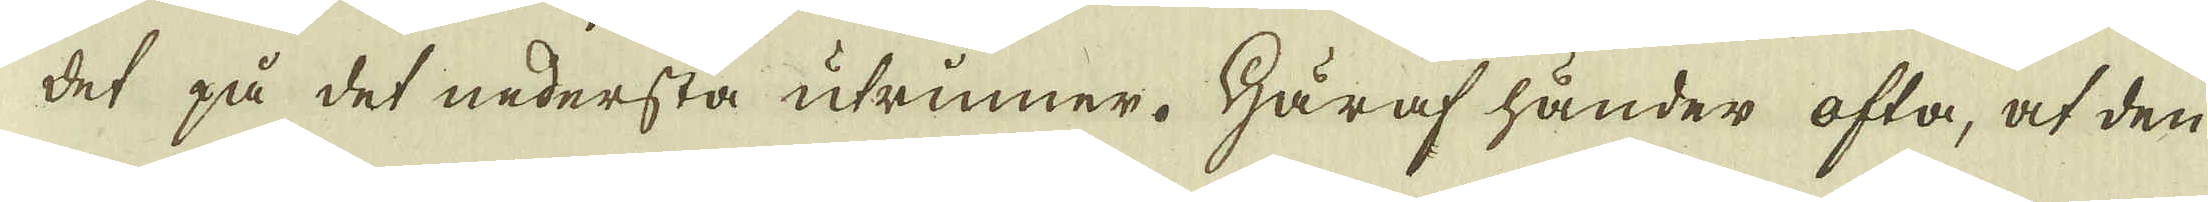det på det nedersta utrinner. Häraf händer ofta, at den
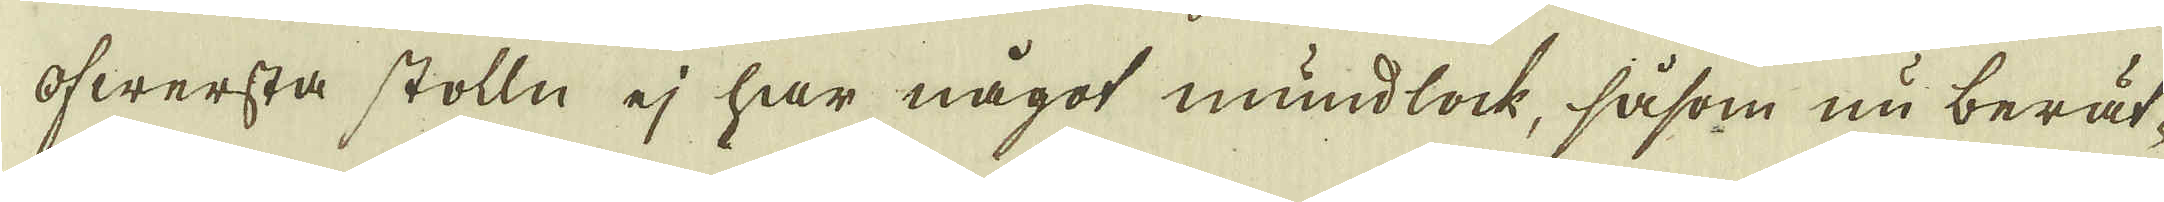öfwersta stolln ej har något mundlock, såsom nu berät-
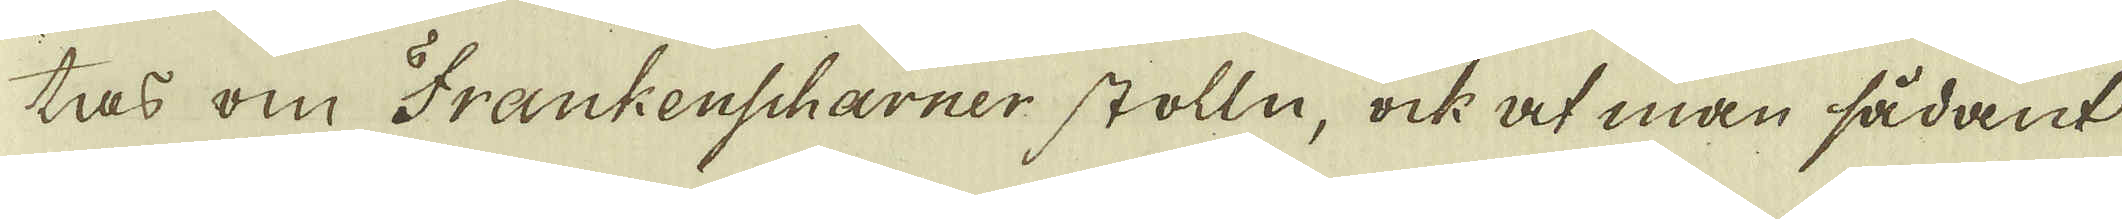tas om Frankenscharner stolln, ock at man sådant
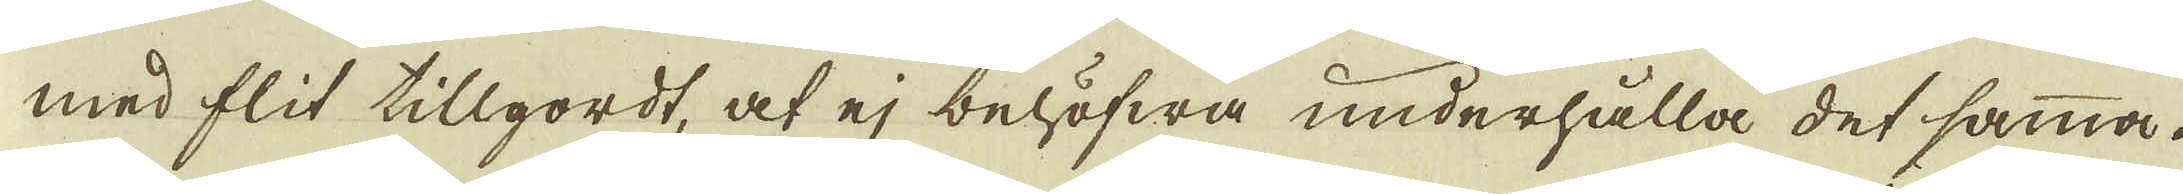med flit tillgordt, at ej behöfwa underhålla det samma.
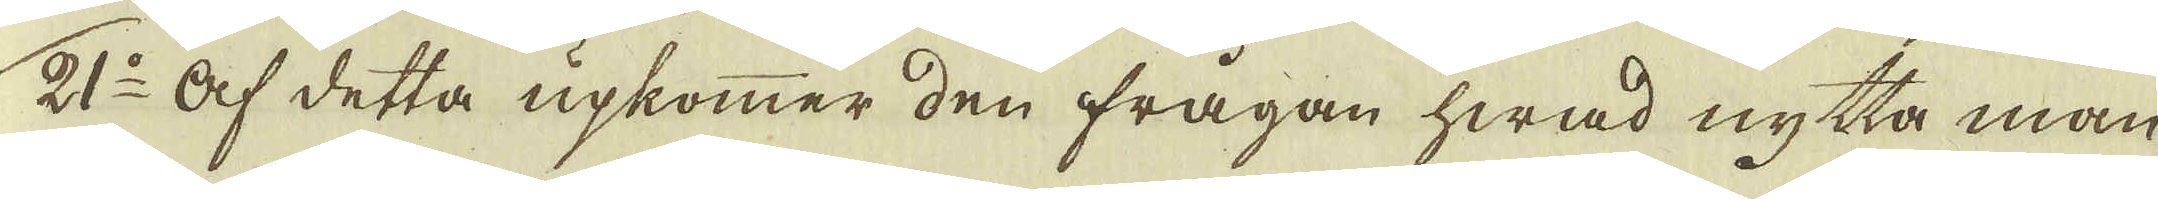21:o Af detta upkommer den frågan hwad nytta man
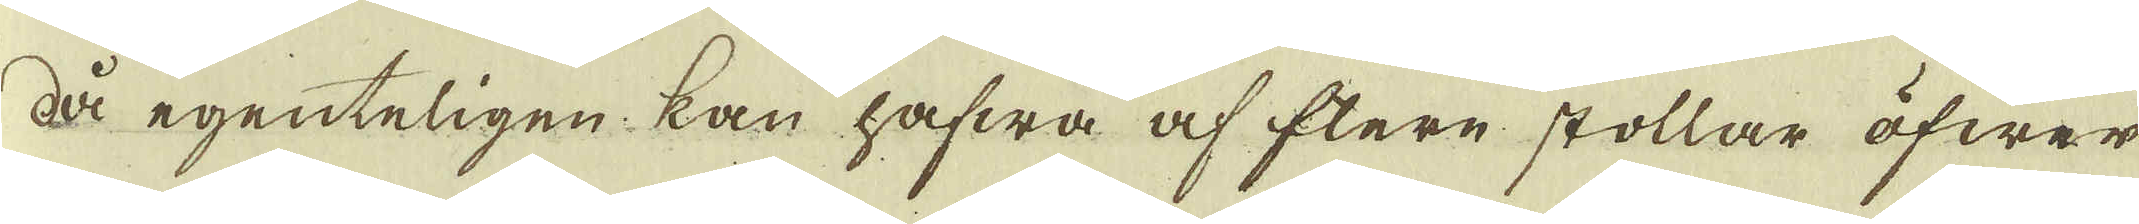då egenteligen kan hafwa af flere stollar öfwer
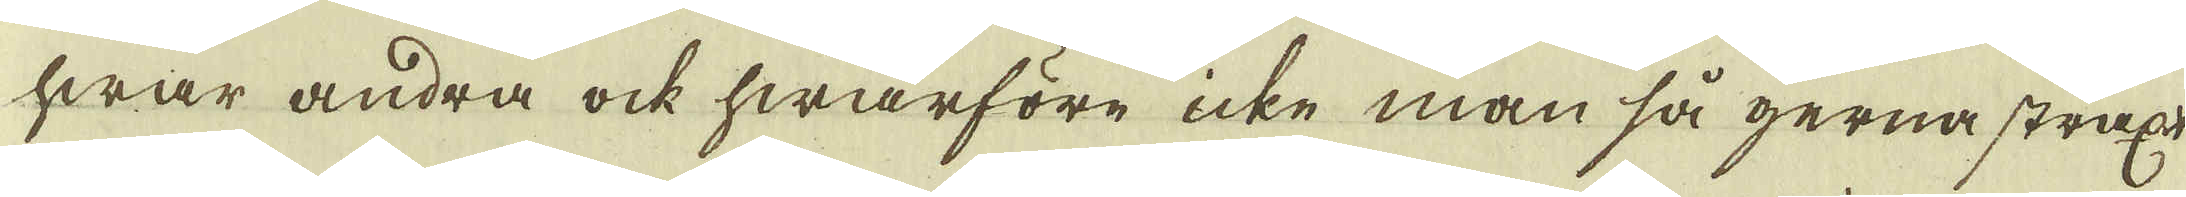hwar andra ock hwarföre icke man så gerna straxt
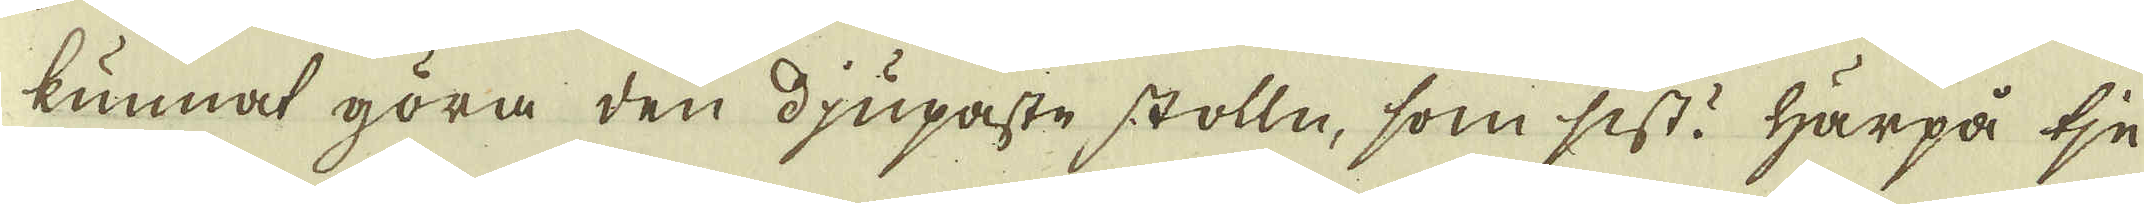kunnat göra den djupaste stolln, som sist? Härpå tje-
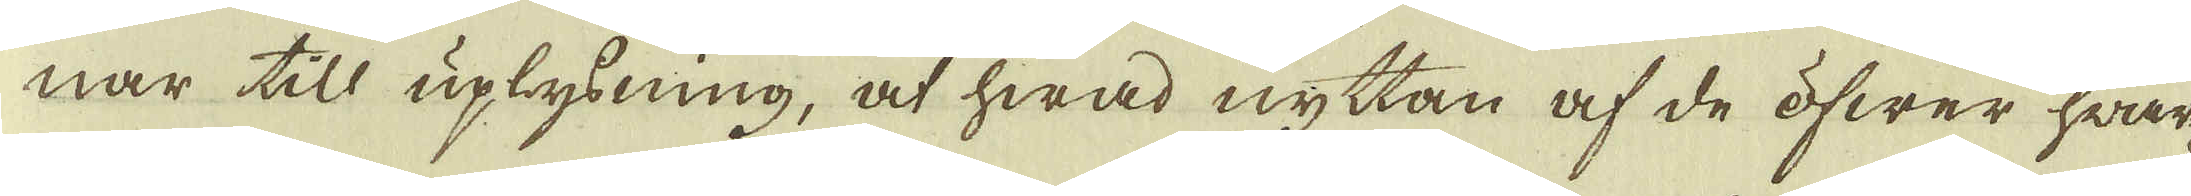nar till uplysning, at hwad nyttan af de öfwer hwar-
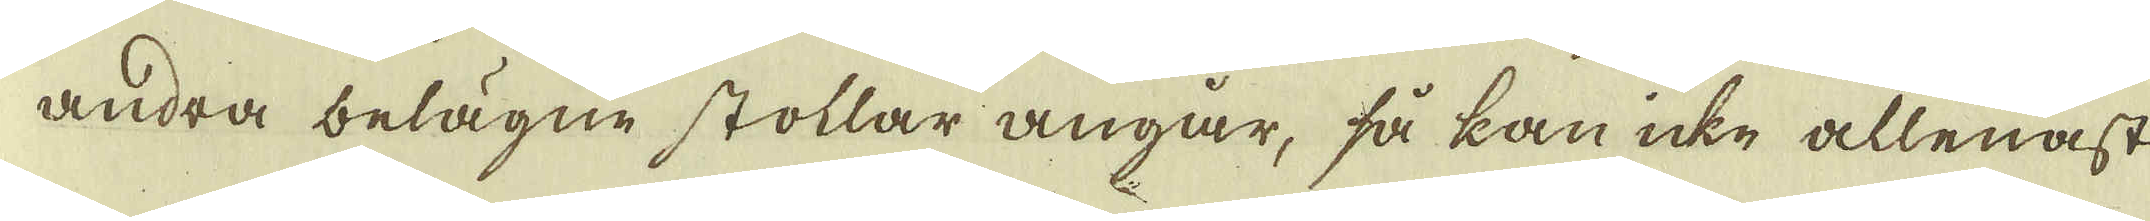andra belägne stollar angår, så kan icke allenast
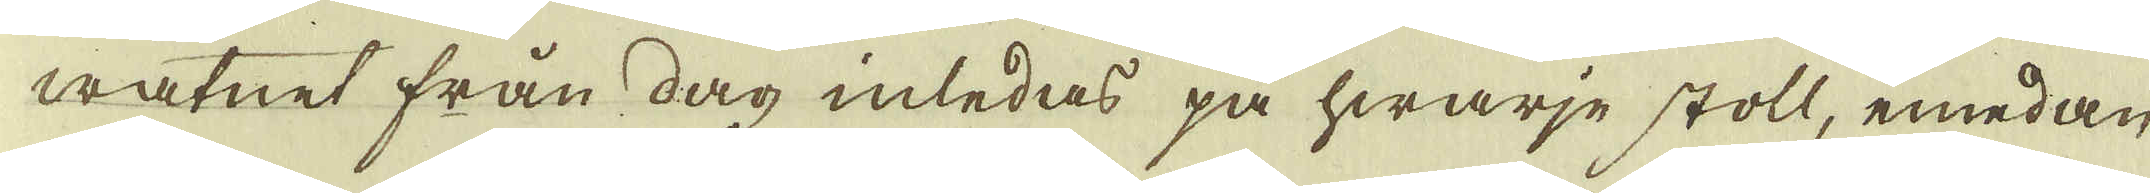watnet från dag inledas på hwarje stoll, emedan
